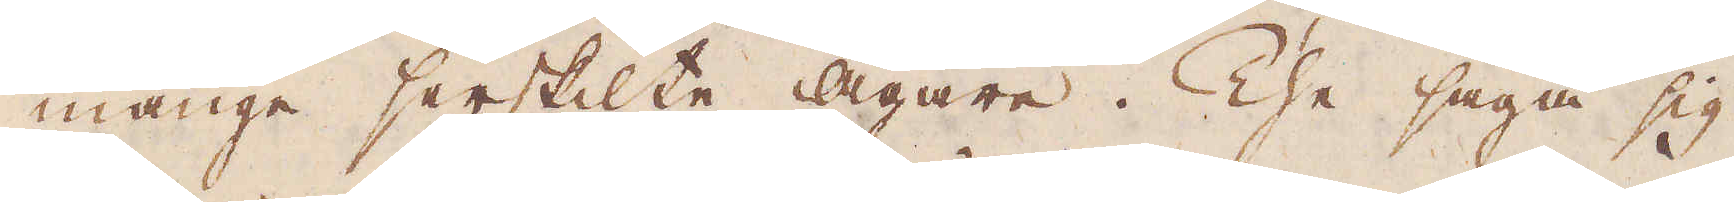månge serskilte Ägare. The säga sig
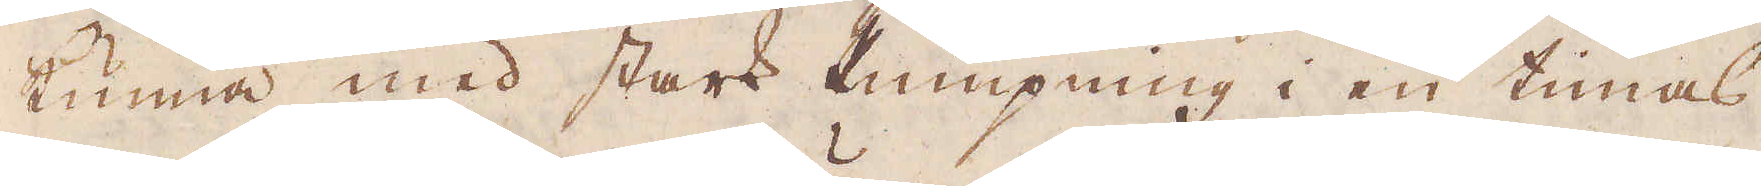kunna med stark Pumpning i en timas
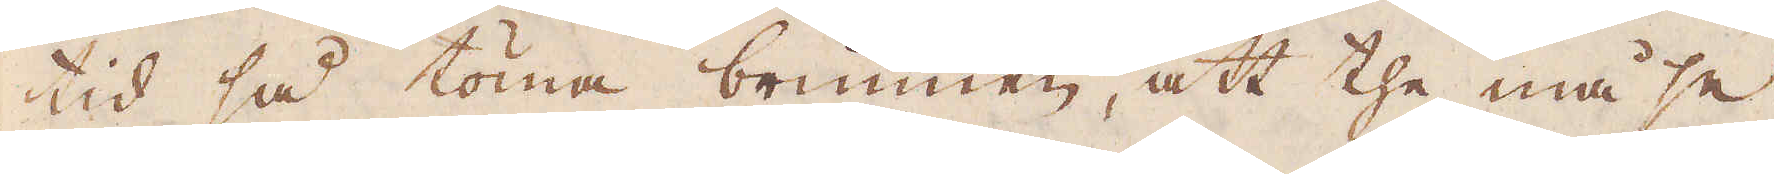tid så töma brunnen, att the må se
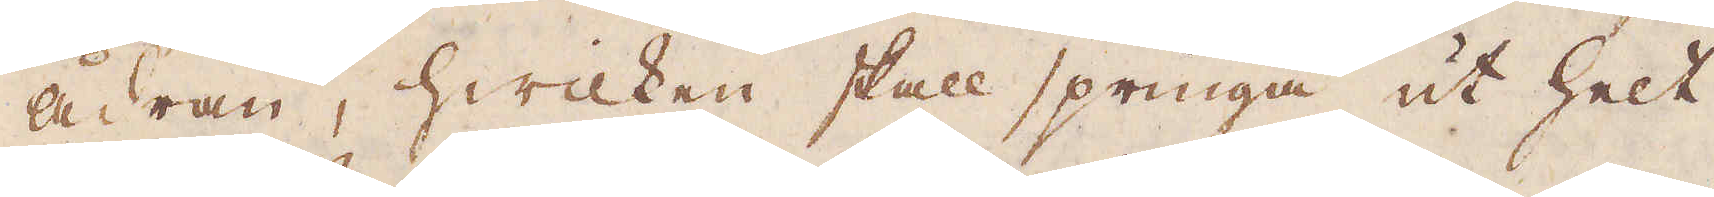ådran, hwilken skall springa ut helt
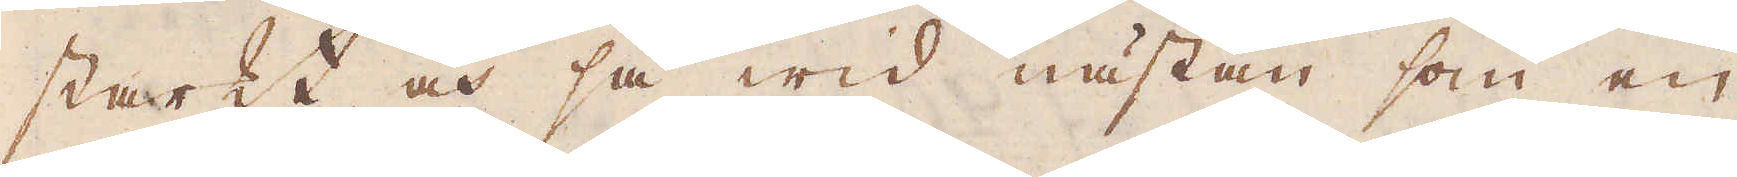starkt och så wid nästan som en
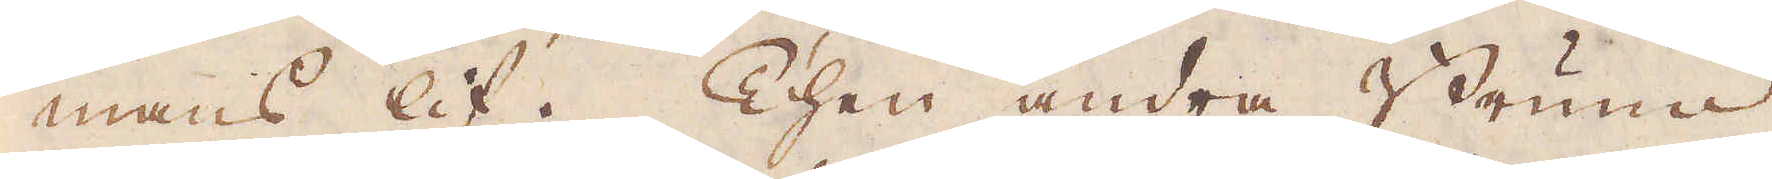mans lif. Then andra Brunn
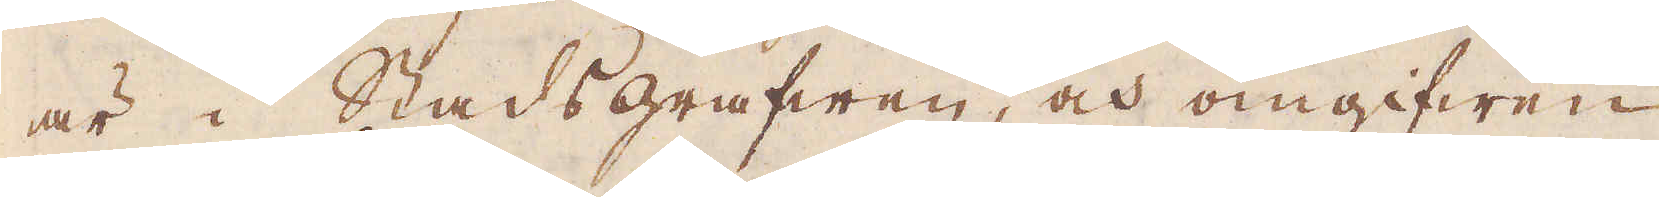är i Stadsgrafwen, och omgifwen
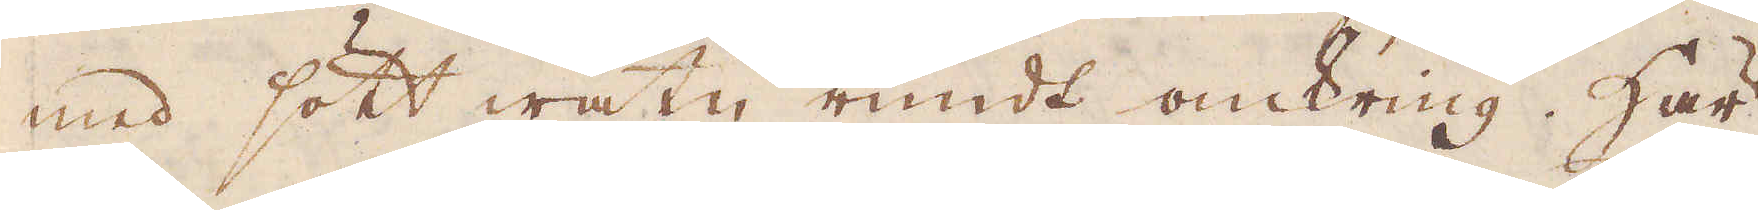med sött watn rundt omkring. Här
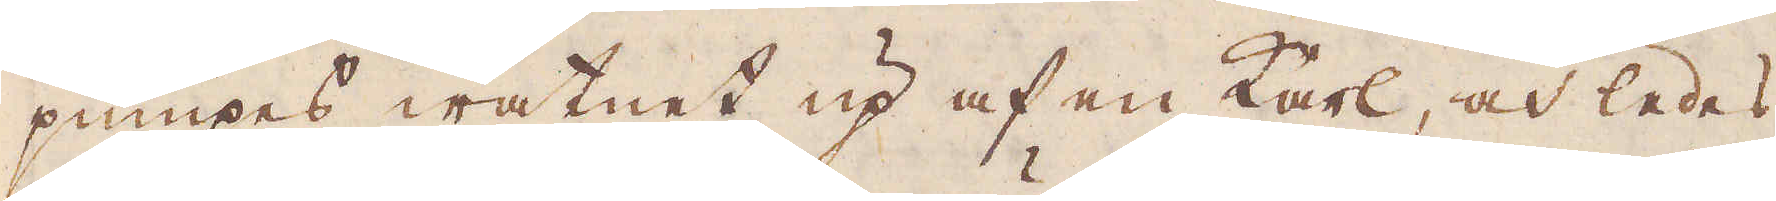pumpes watnet up af en karl, och ledes
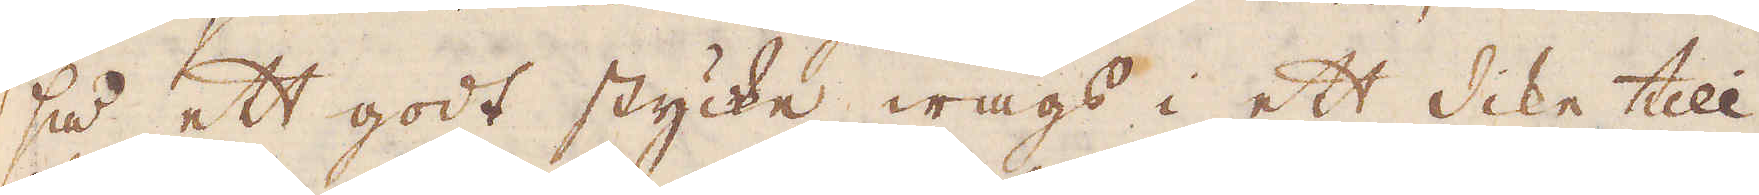så ett godt stycke wägs i ett dike till
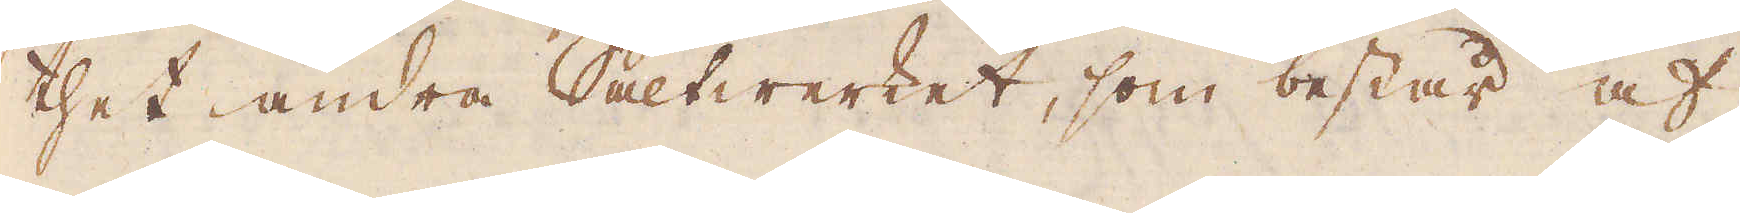thet andra Saltwerket, som består af
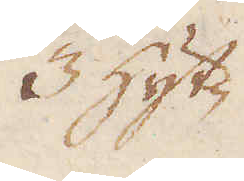3 Hyt-
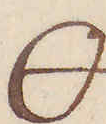🜔
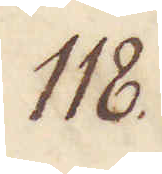118.
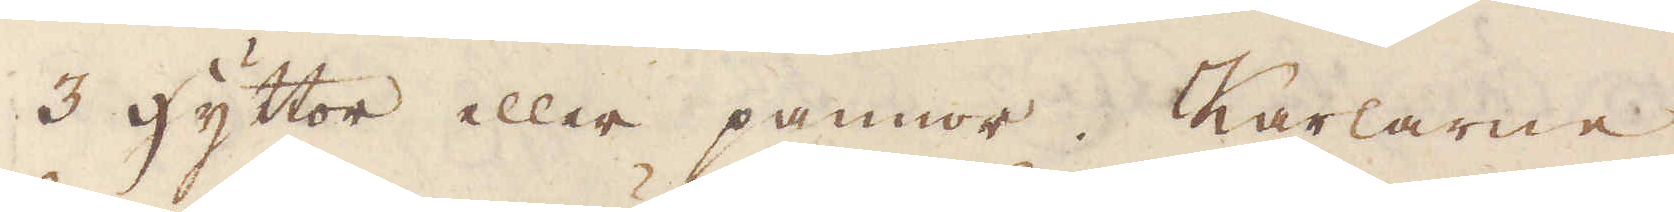3 hyttor eller pannor. Karlarne,
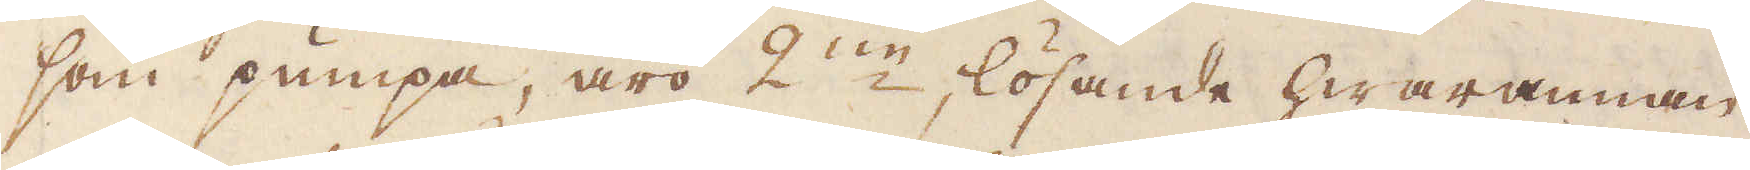som pumpa, äro 2:ne lösande hwarannan
